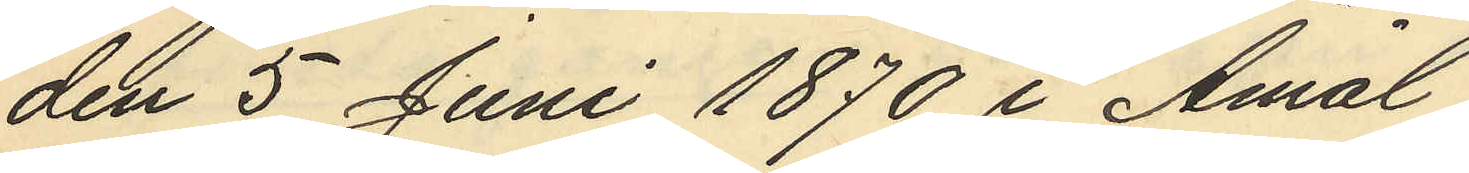den 5 Juni 1870 i Åmål
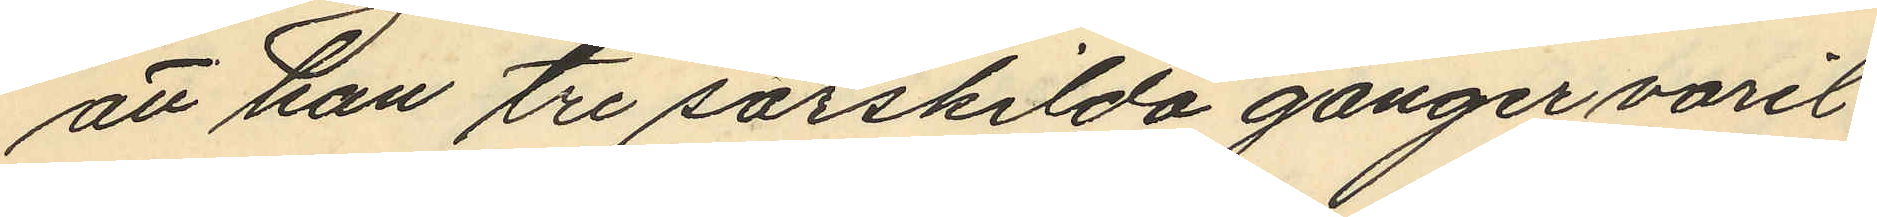att han tre särskilda gånger varit
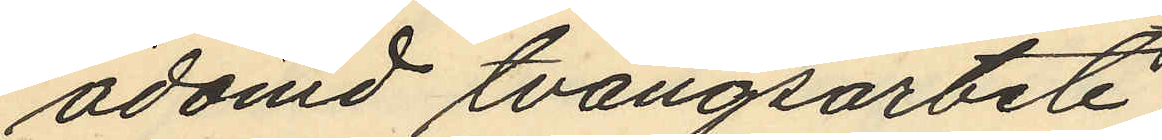ådömd tvångsarbete,
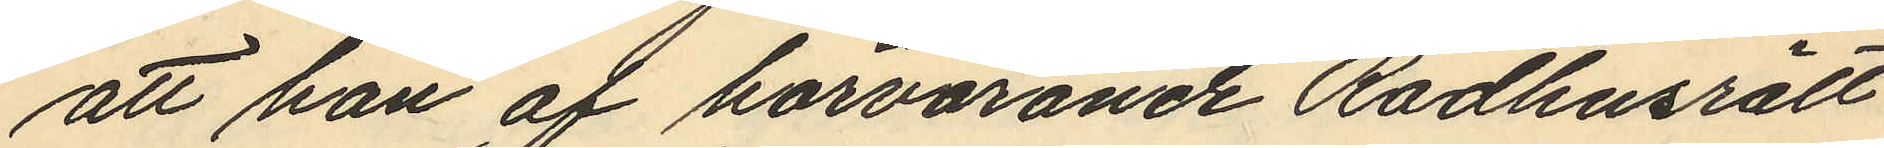att han af härvarande Rådhusrätt
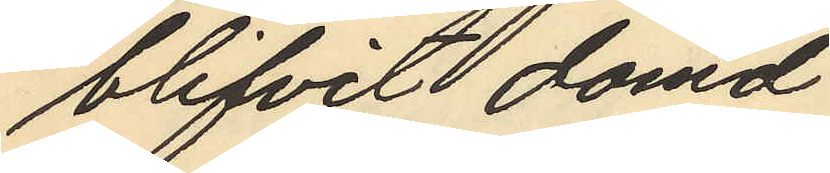blifvit dömd
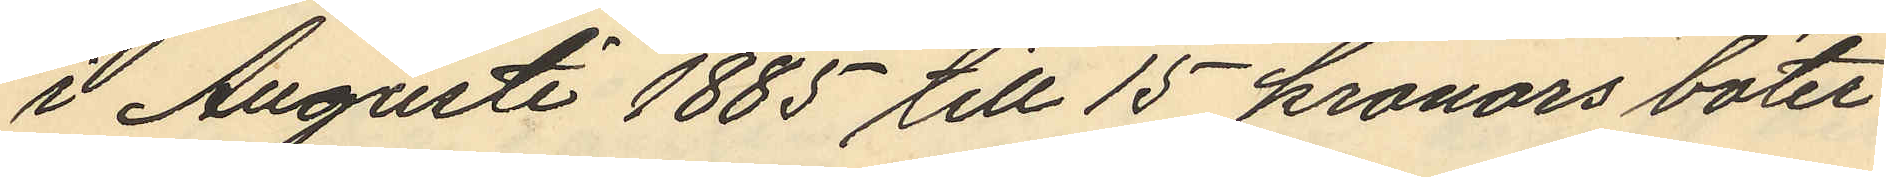i Augusti 1885 till 15 kronors böter
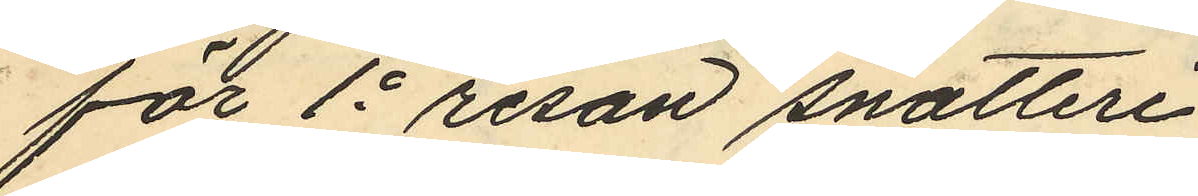för 1e resan snatteri
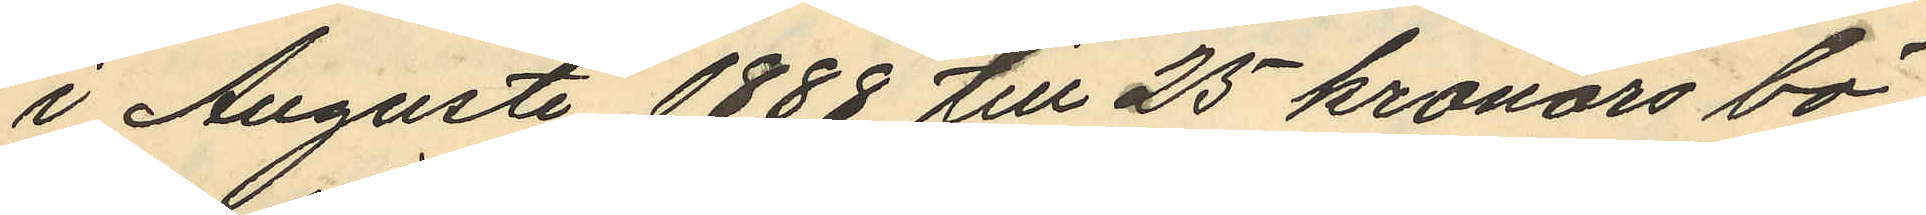i Augusti 1888 till 25 kronors bö¬
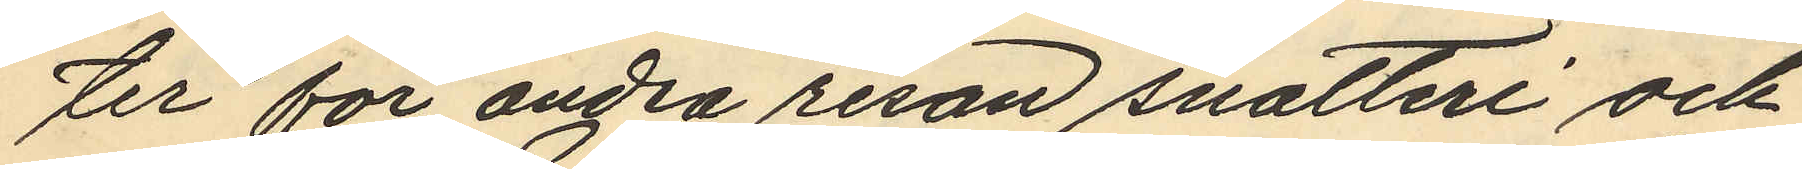ter för andra resan snatteri och
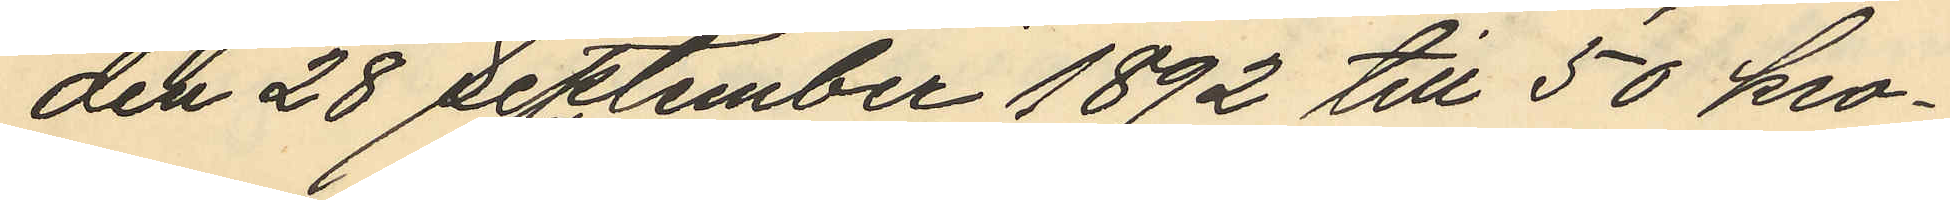den 28 September 1892 till 50 kro¬
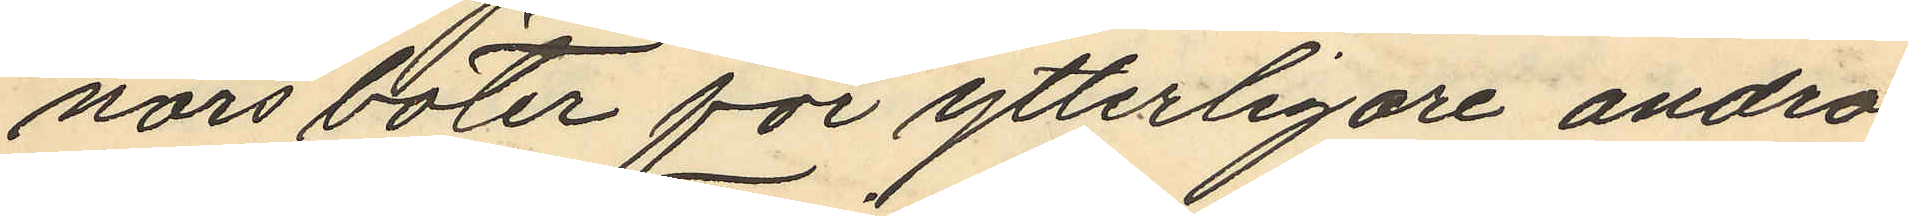nors böter för ytterligare andra
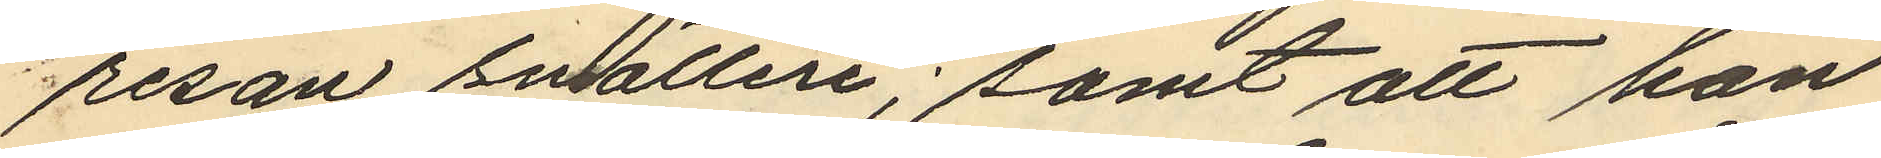resan snatteri; samt att han
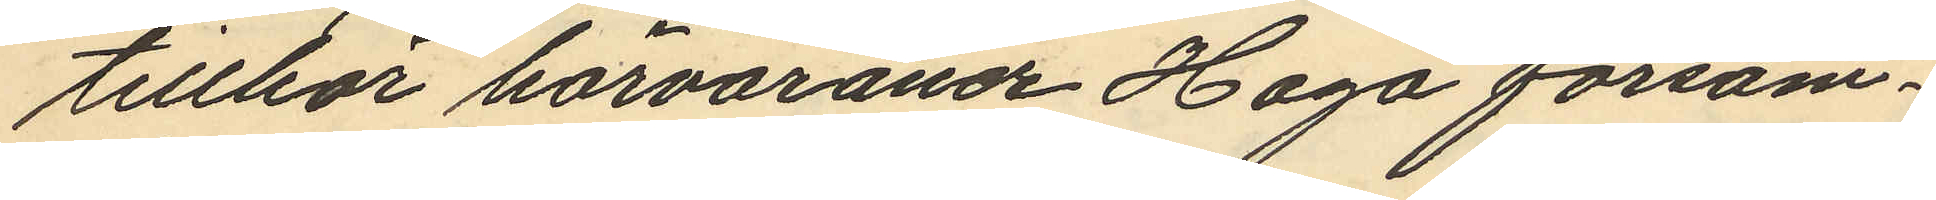tillhör härvarande Haga försam¬
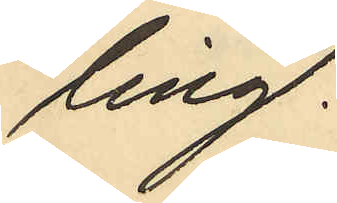ling.
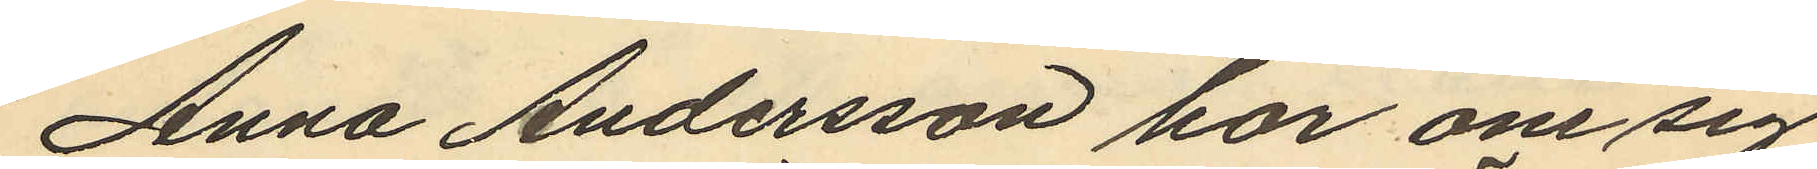Anna Andersson har om sig
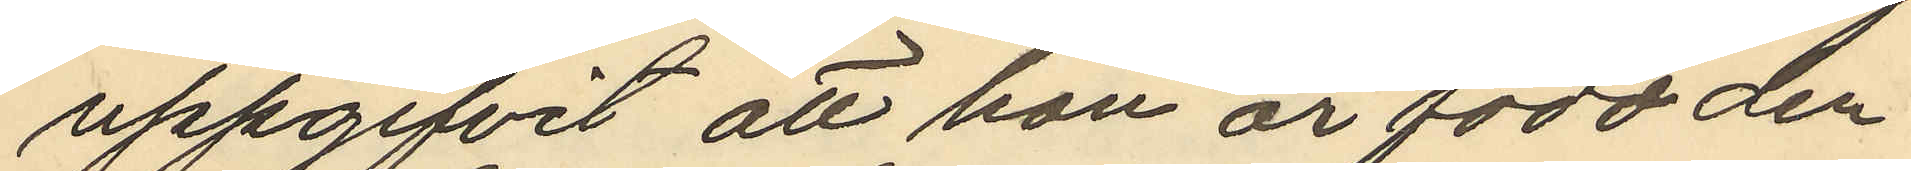uppgifvit att hon är född den
